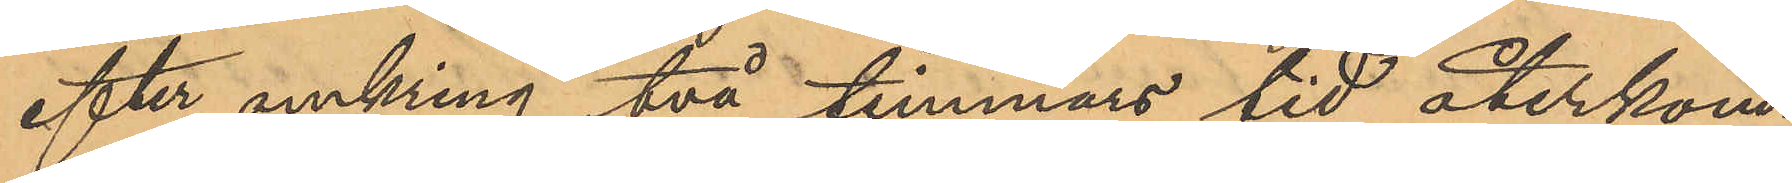efter omkring två timmars tid återkom¬
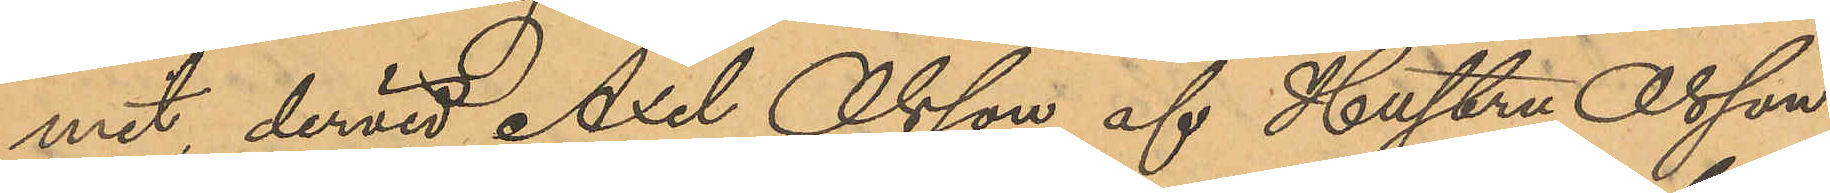mit, dervid Axel Olsson af Hustru Olsson
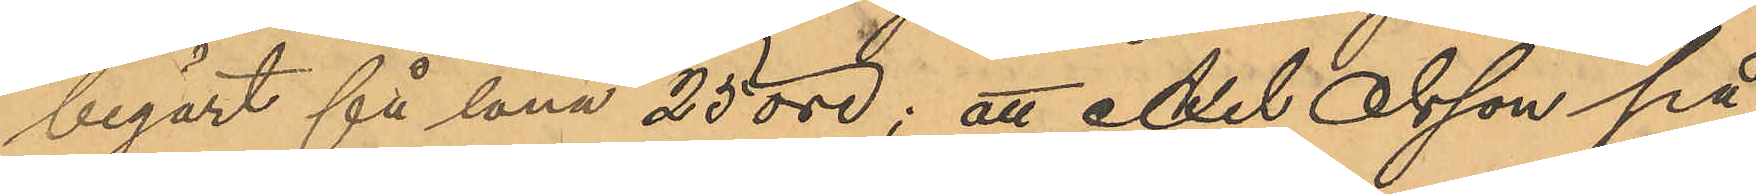begärt få låna 25 öre; att Axel Olsson på
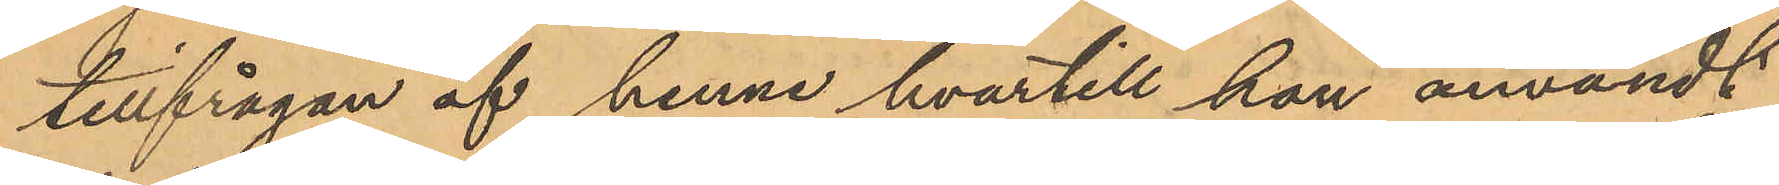tillfrågan af henne hvartill han användt
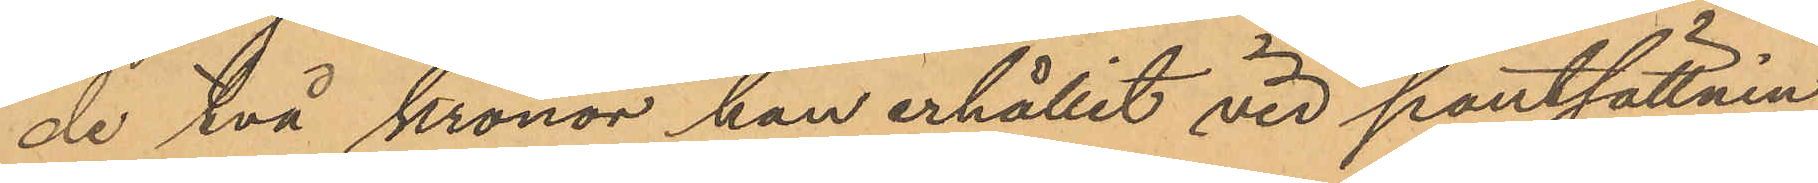de två Kronor han erhållit vid pantsättnin¬
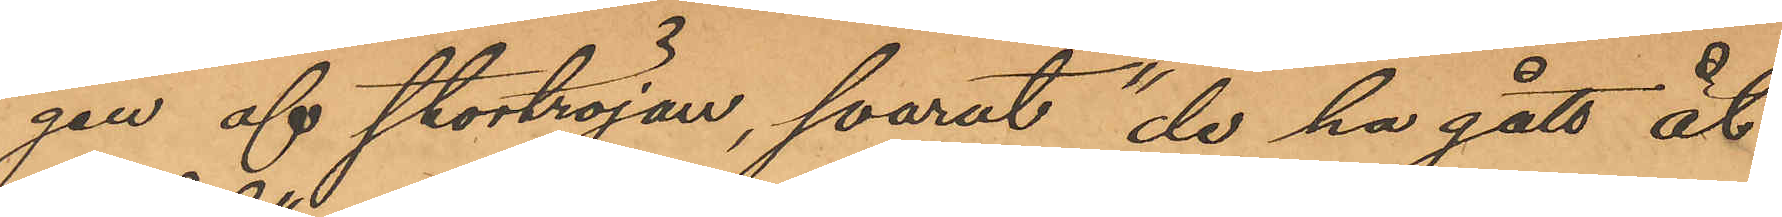gen af stortröjan, svarat "de ha gått åt
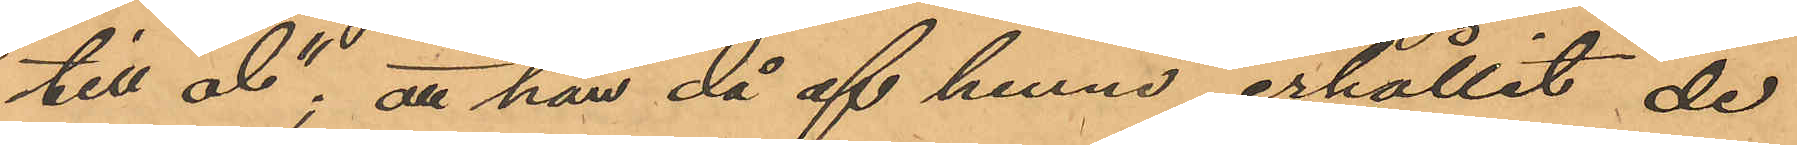till öl"; att han då af henne erhållit de
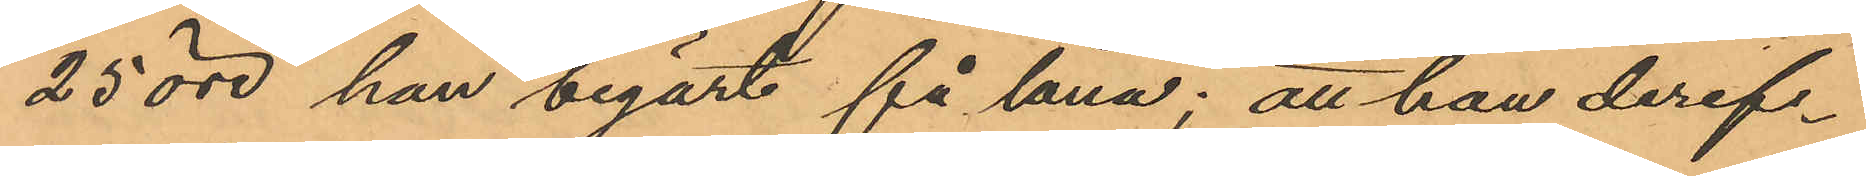25 öre han begärt få låna; att han deref¬
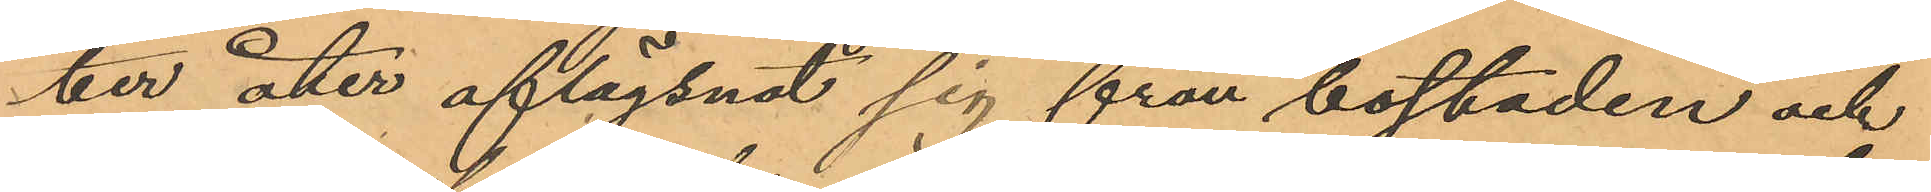ber åter aflägsnat sig från bostaden och
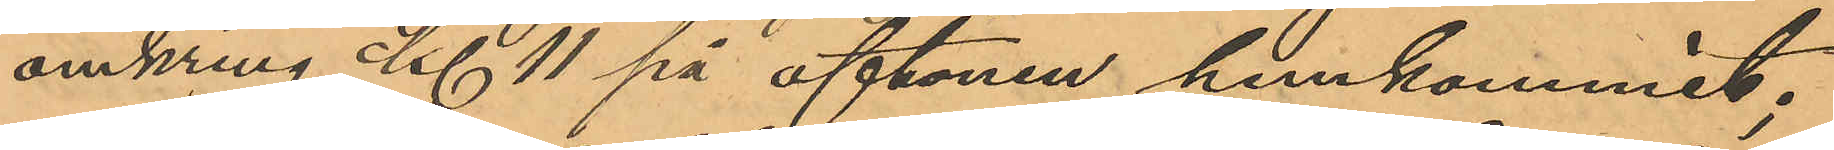omkring kl 11 på aftonen hemkommit;
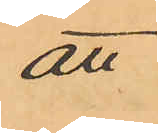att
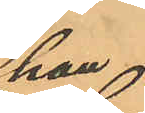han,
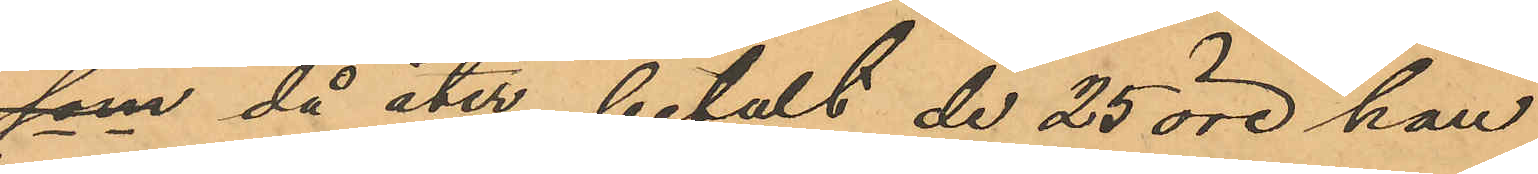som då åter betalt de 25 öre han
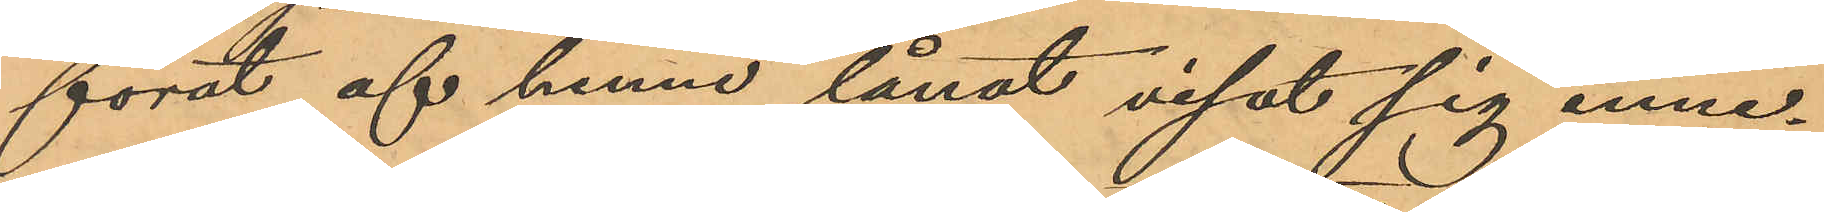förut af henne lånat visat sig inne¬
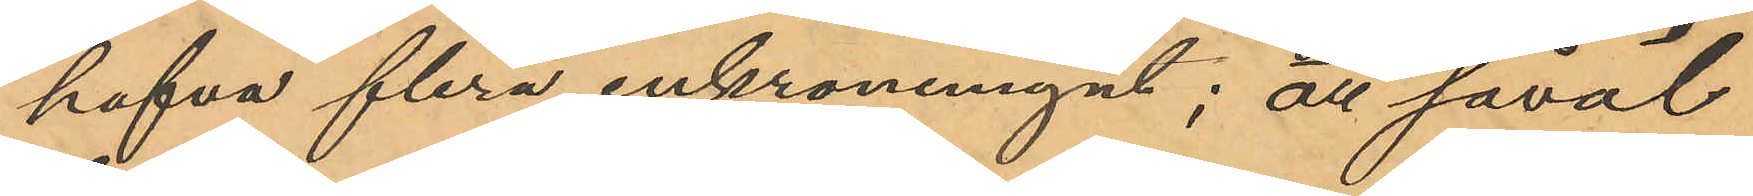hafva flera enkronemynt; att såväl
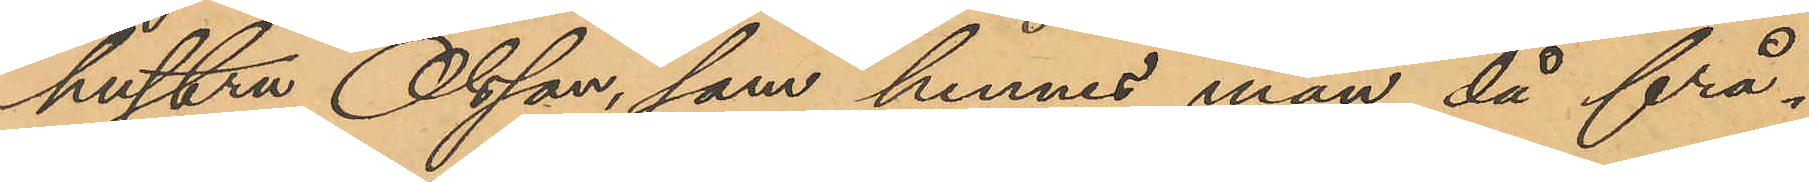hustru Olsson, som hennes man då frå¬
